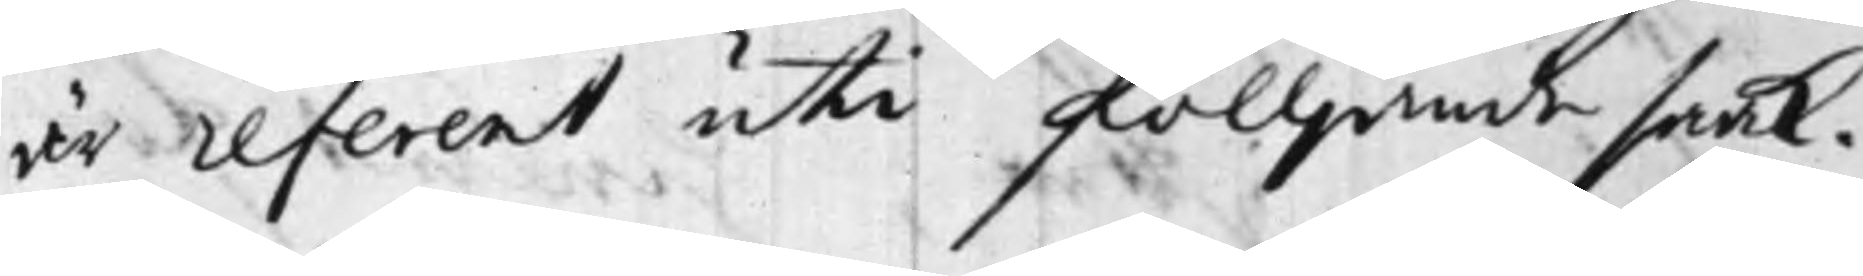är referent uti fölljande saak.
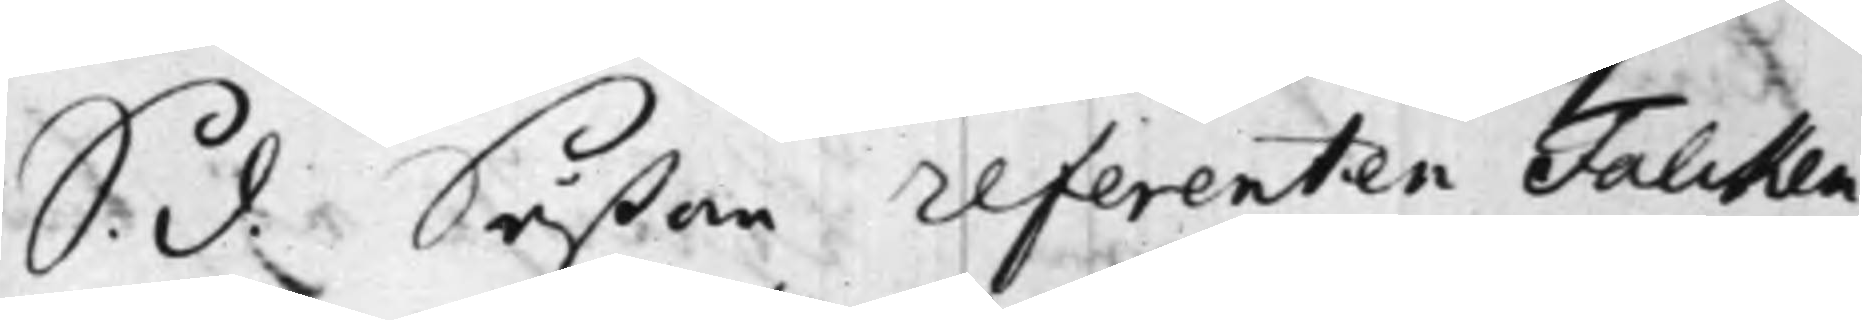S. d. Såßom referenten Falcken¬
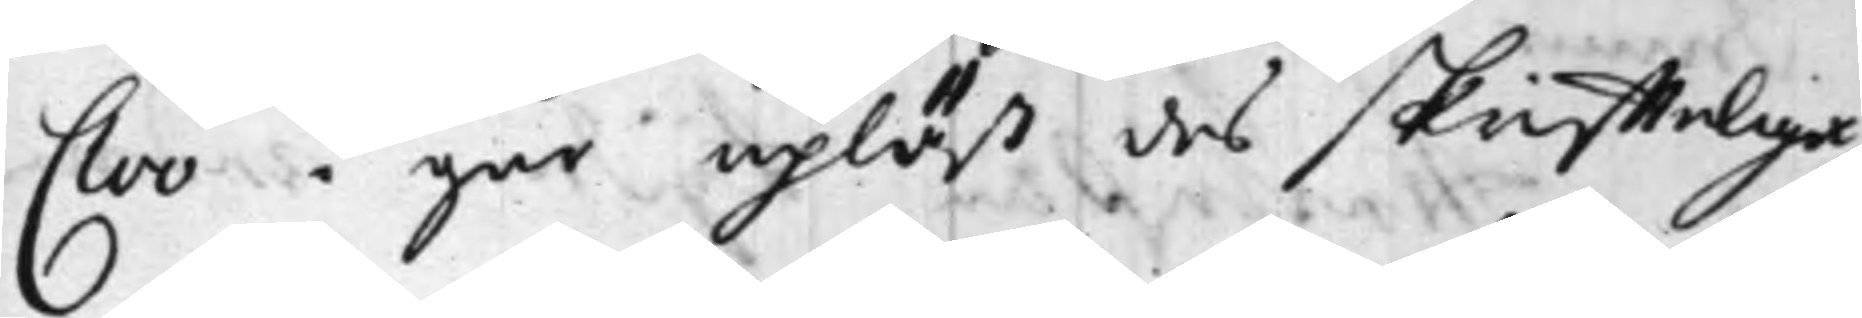Cloo i går upläst des skriffteliga
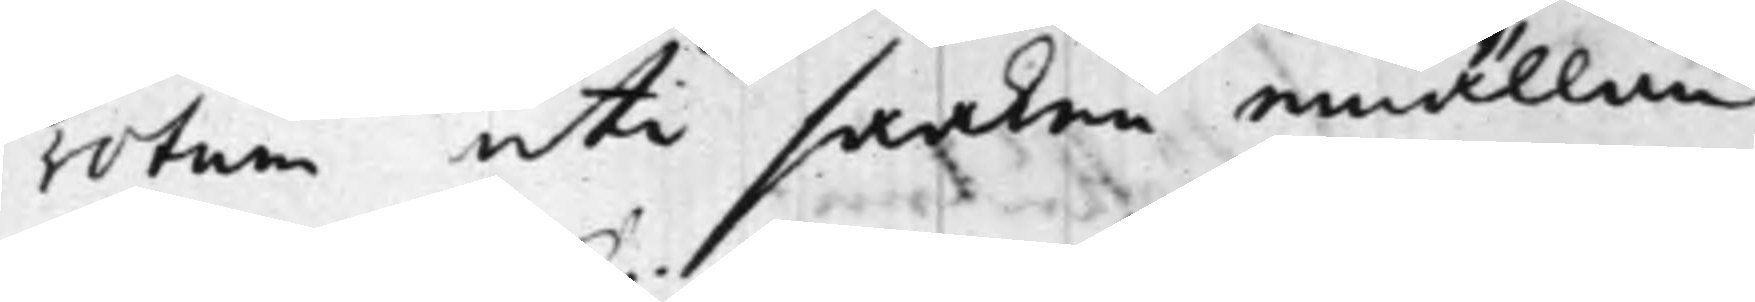rotum uti saaken emällan
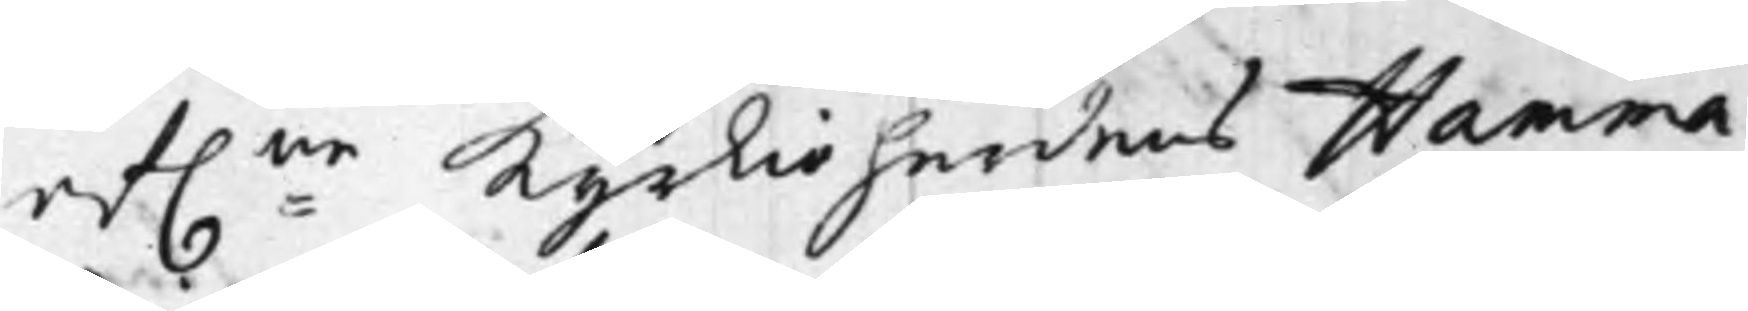af:ne Kyrkioherdens Hamma¬
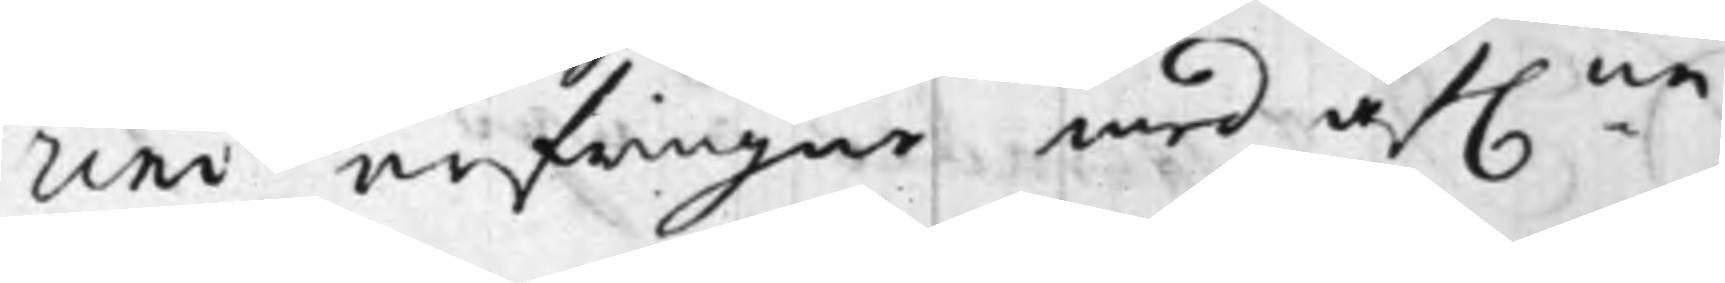rini arfwingar med af:ne
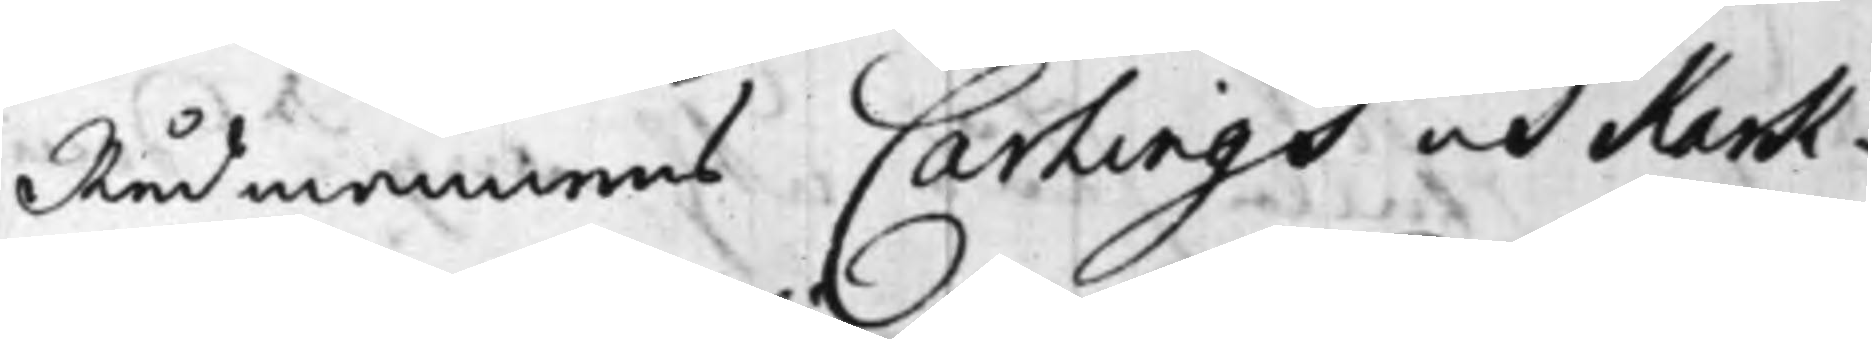Rådmannens Carlings och Kark¬
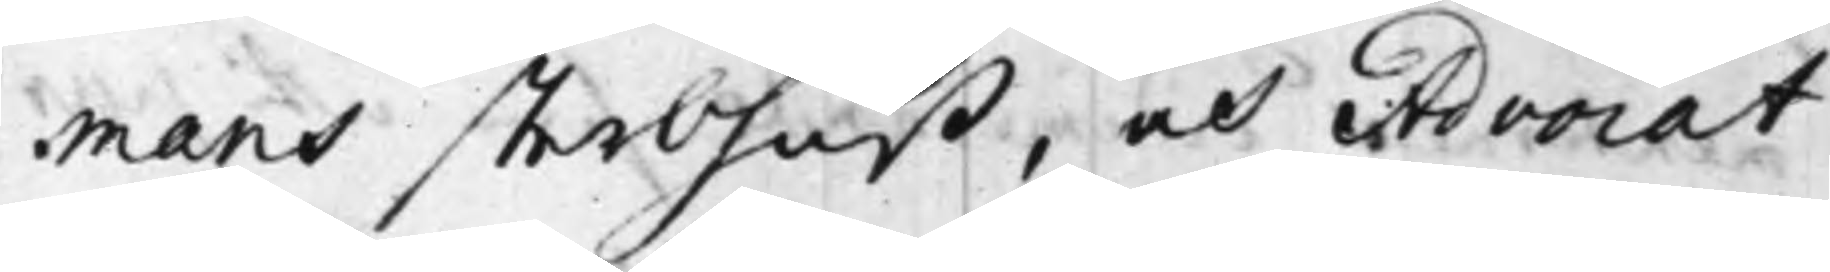mans sterbhuß, och Advocat
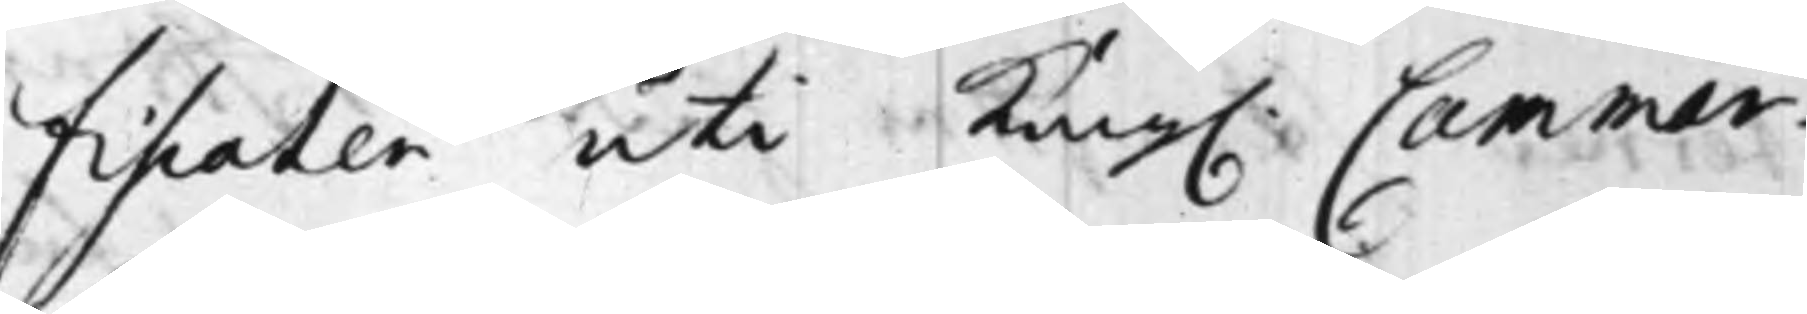Fiscalen uti Kong. Cammar¬
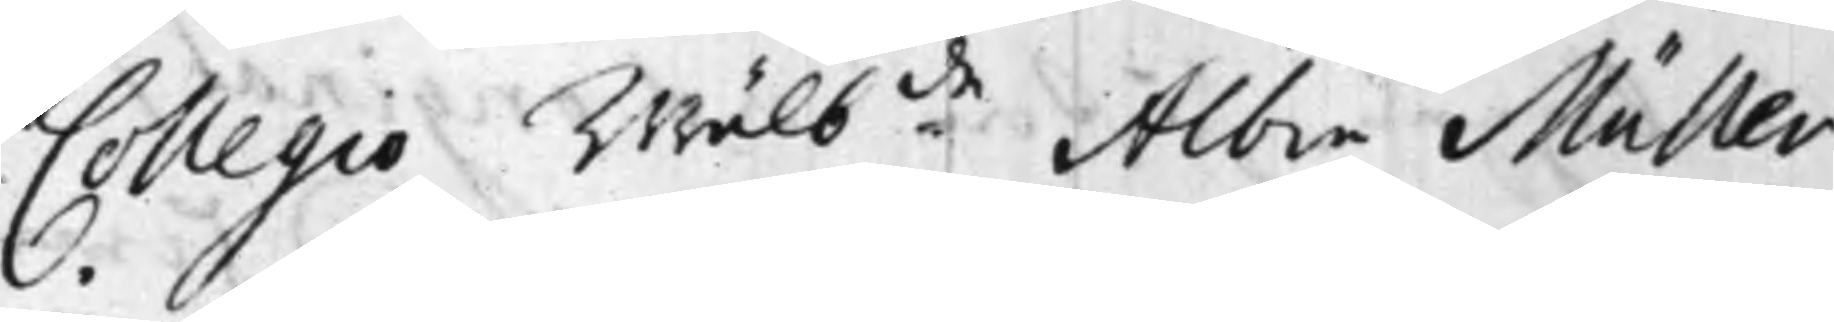Collegio Wälb:de Albin Müller
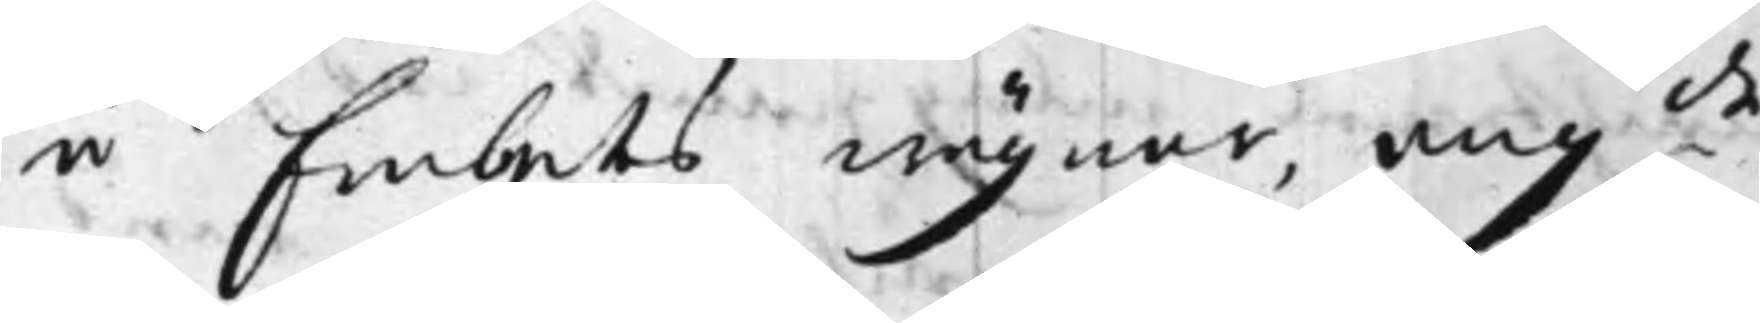å Embetes wägnar ang:de
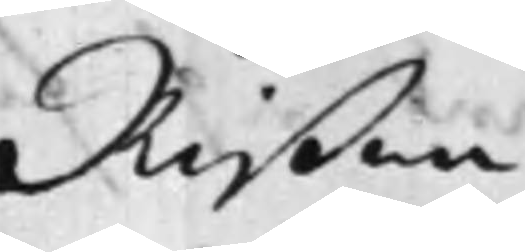Rißna
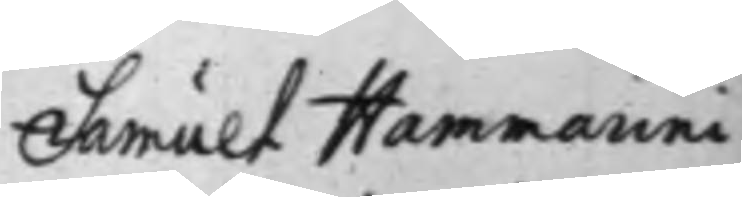Samuel Hammarini,
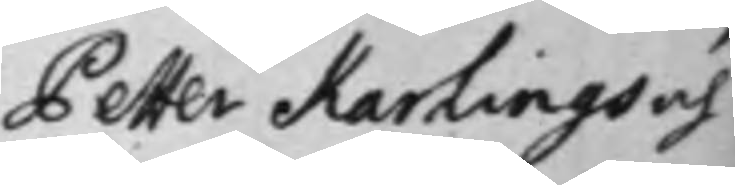Petter Karlings och
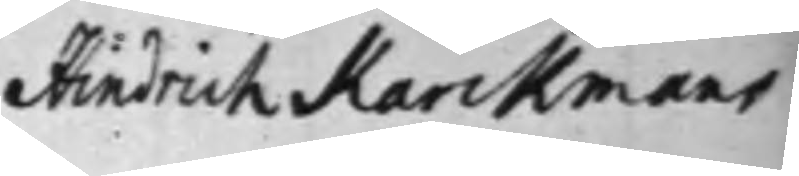Hindrich Karckmans
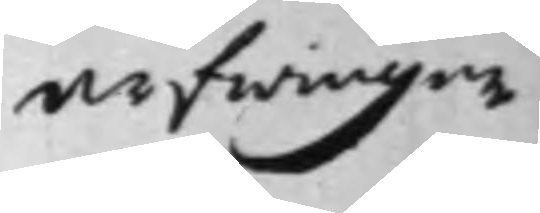arfwingar
